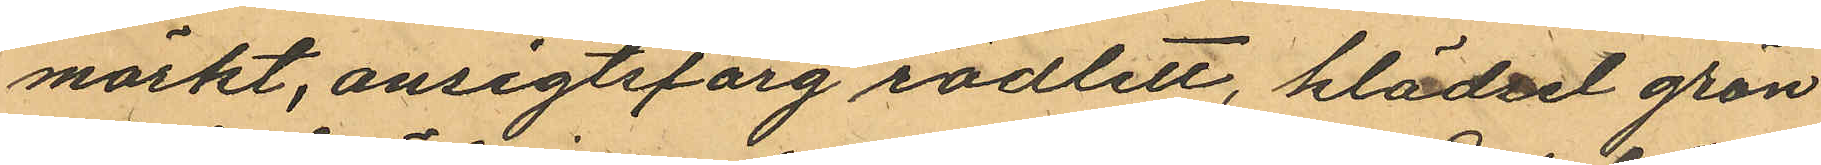mörkt, ansigtsfärg rödlett, klädsel grön
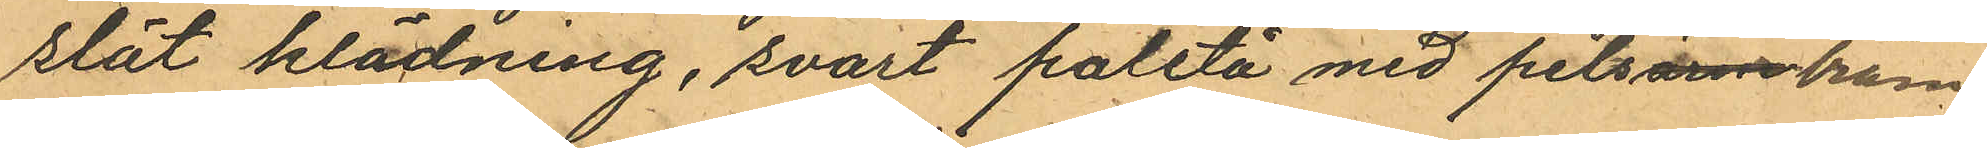slät klädning, svart paletå med pelsänsbräm
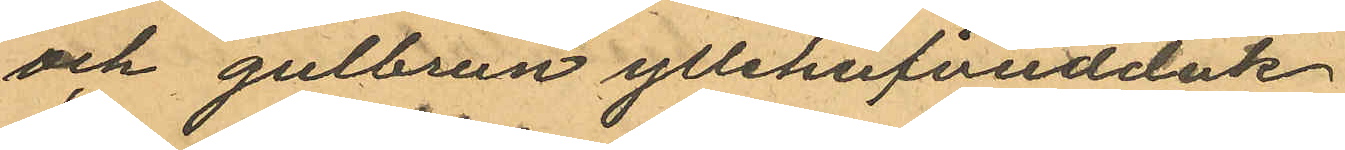och gulbrun yllehufvudduk
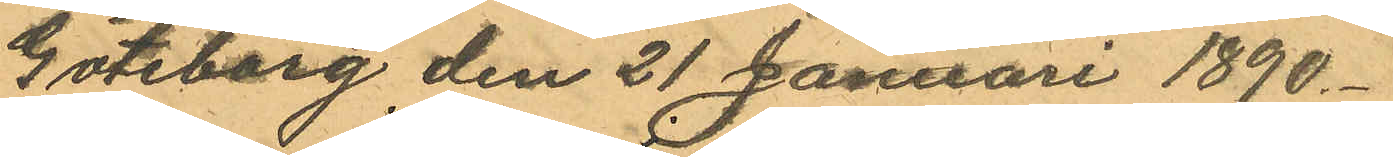Göteborg den 21 Januari 1890.
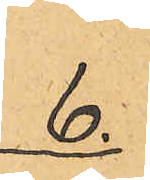6.
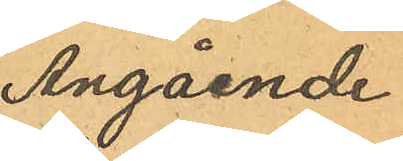Angående
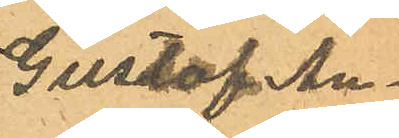Gustaf An¬
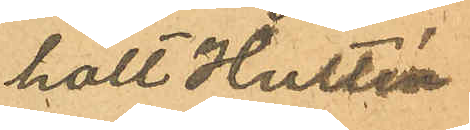holt Hultén
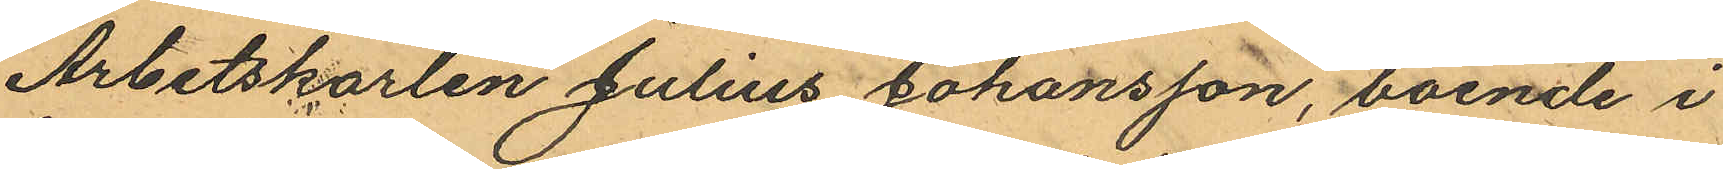Arbetskarlen Julius Johansson, boende i
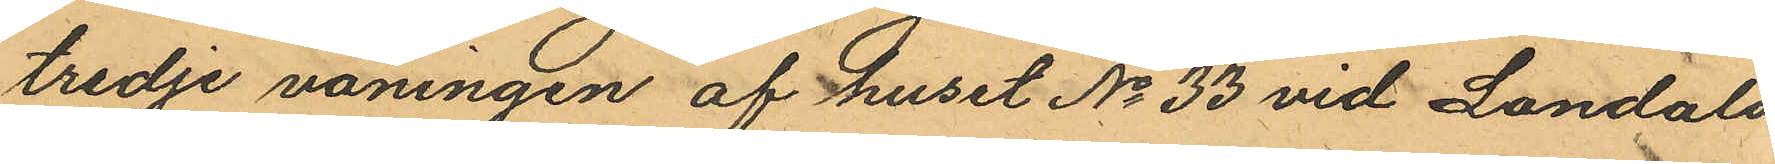tredje våningen af huset No 33 vid Landala
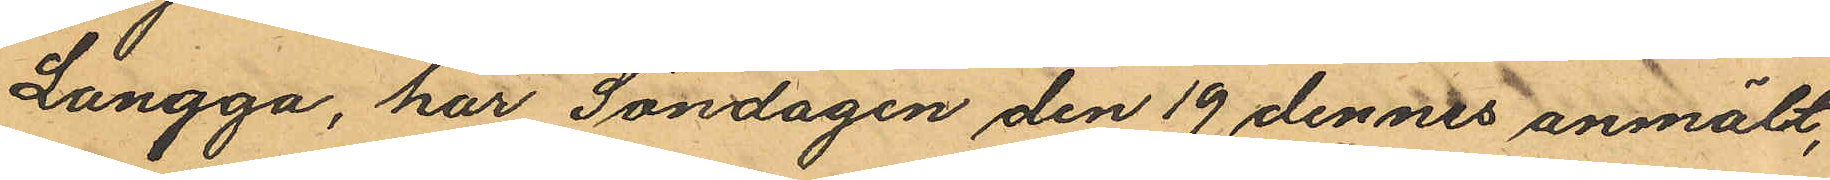Langga, har Söndagen den 19 dennes anmält,
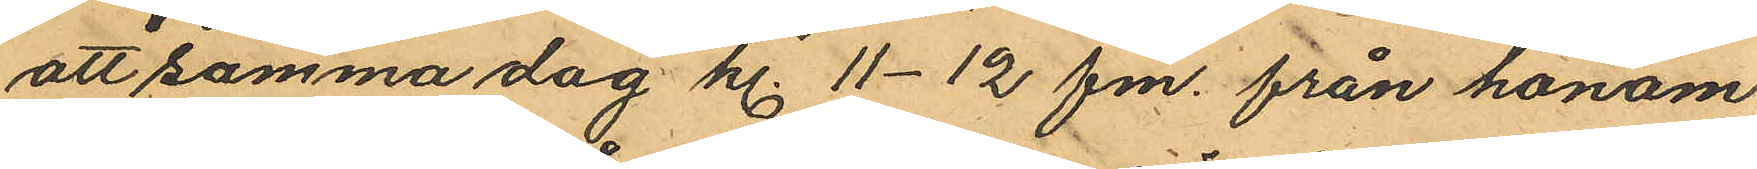att samma dag kl. 11-12 fm. från honom
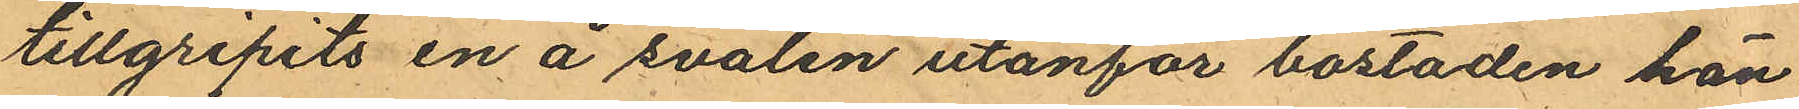tillgripits en å svalen utanför bostaden hän
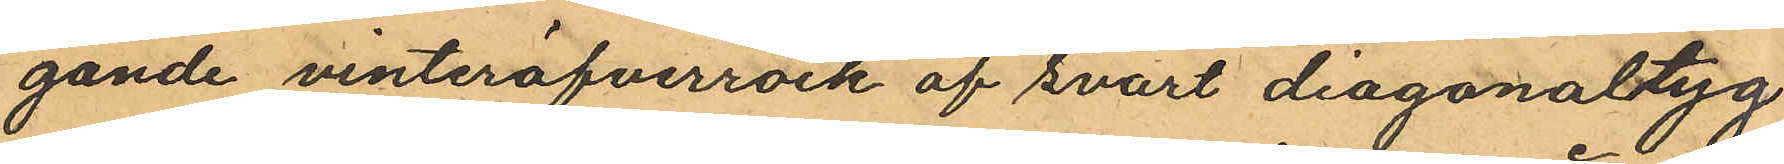gande vinteröfverrock af svart diagonaltyg
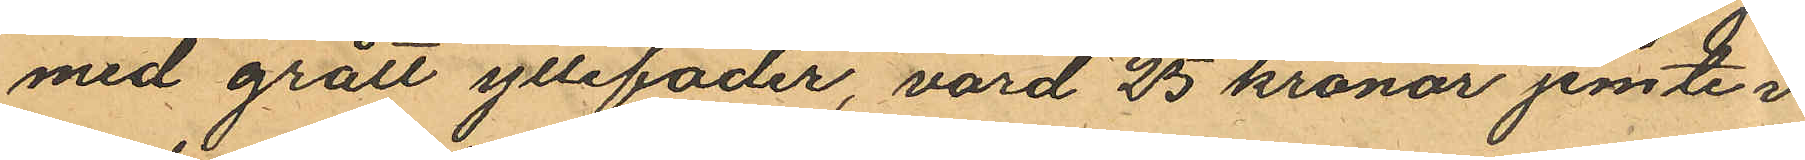med grått yllefoder, värd 25 kronor jemte i
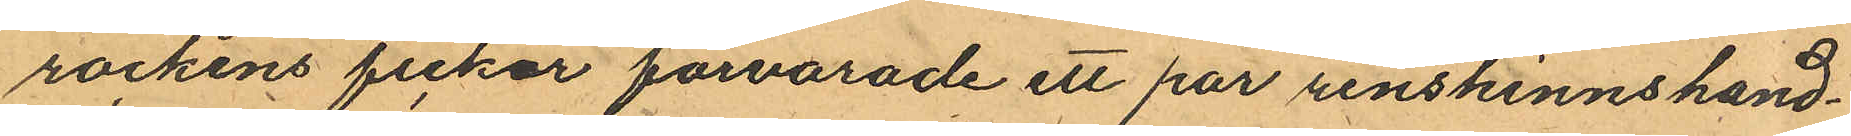rockens fickor förvarade ett par renskinnshand¬
